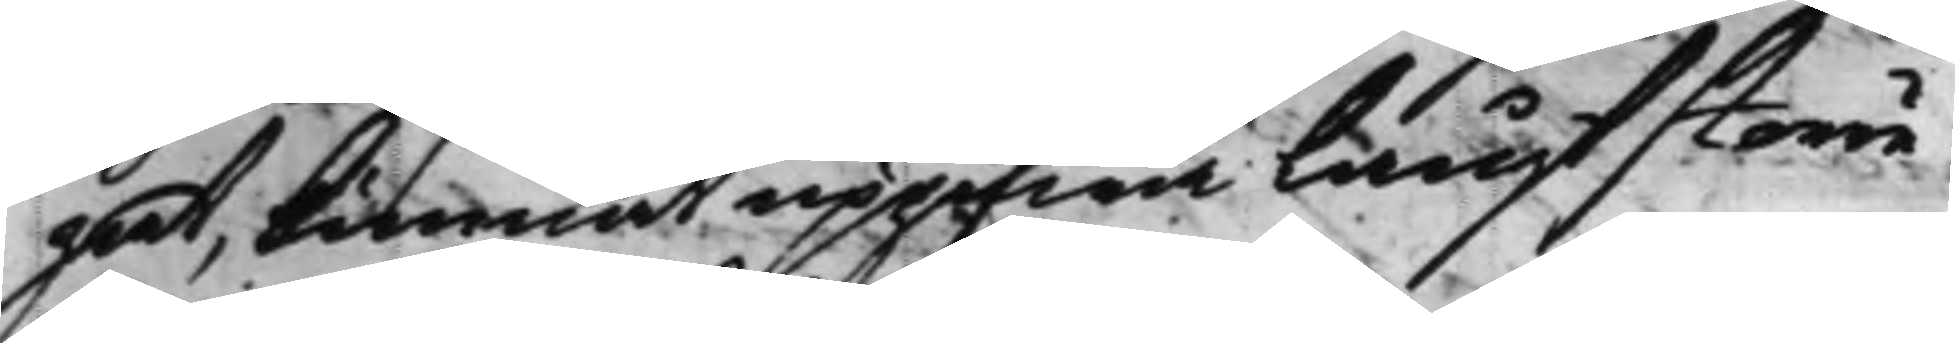gat, kunnat upgifwa långt större
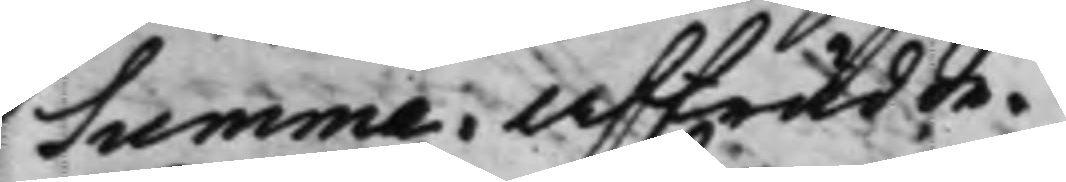Summa. Afträdde.
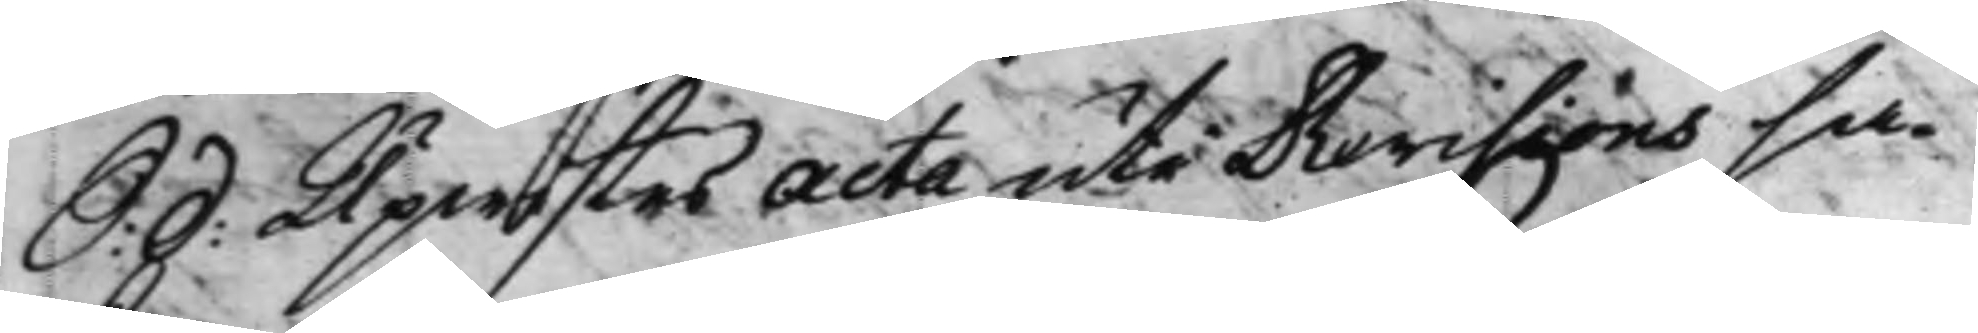S: d: Upwistes Acta uti Revisions sa¬ 
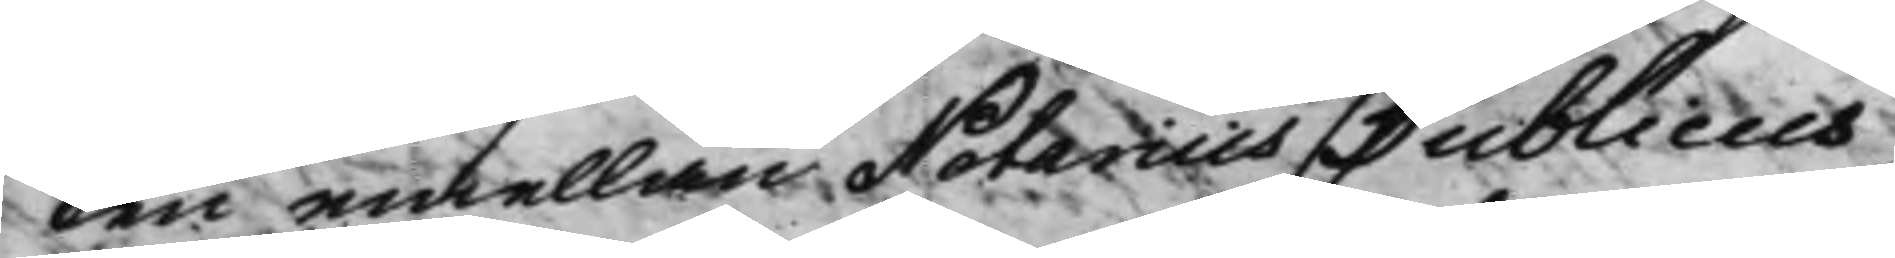ken emellan Notarius Publicus
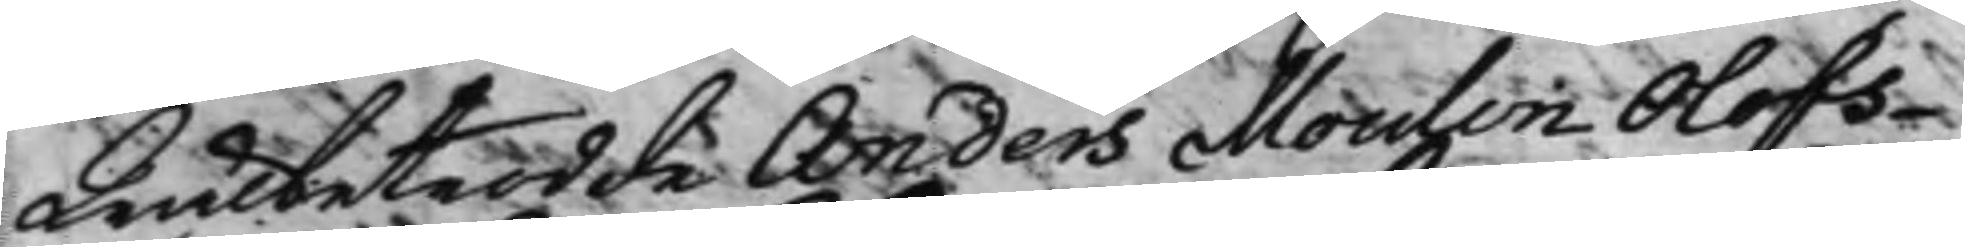Wälbetrodde Anders Moulin Olofs¬
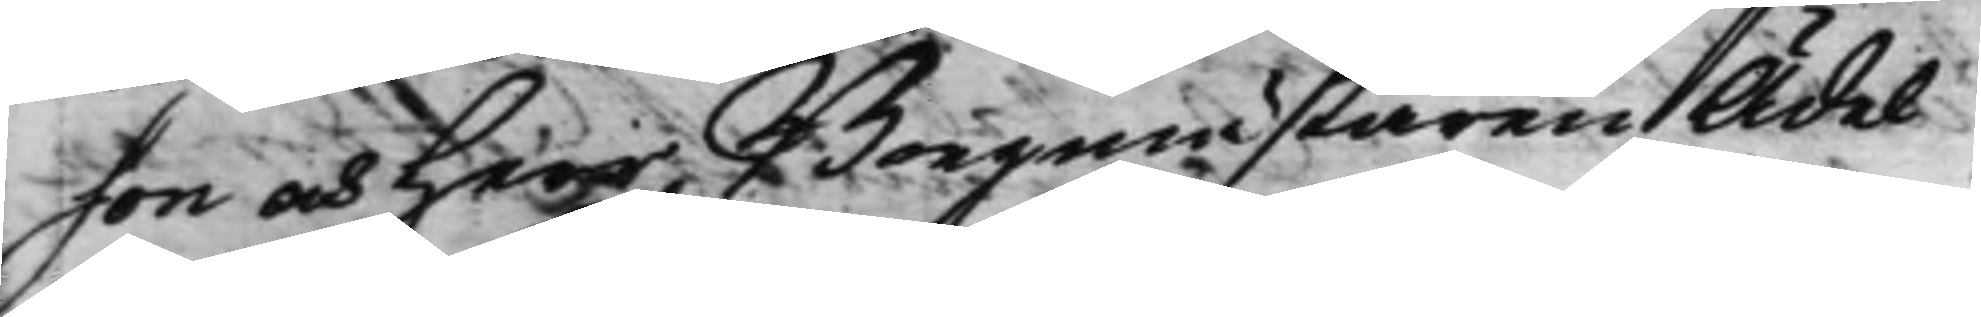son och Herr Borgmästaren Ädel
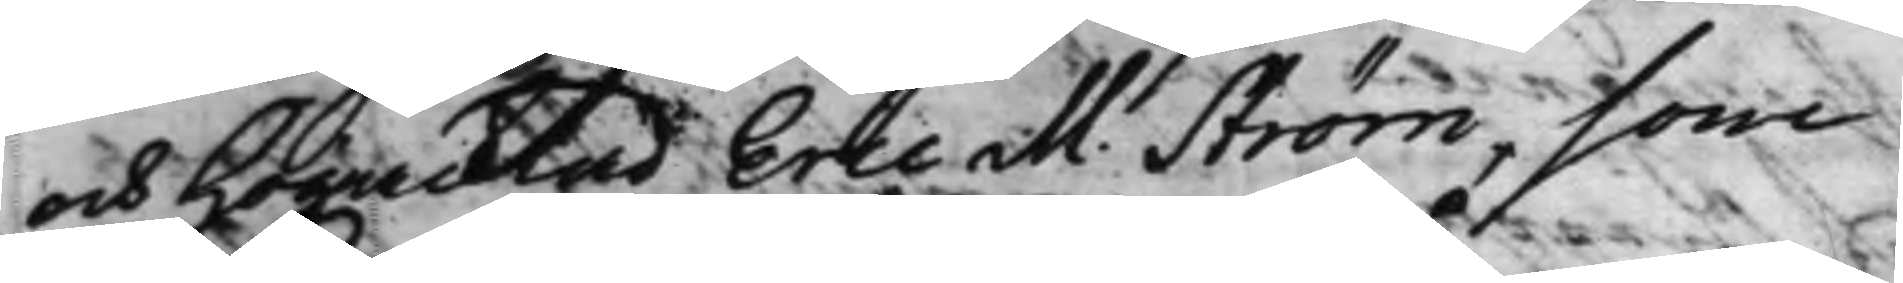och Högacktad Eric M. Ström, som
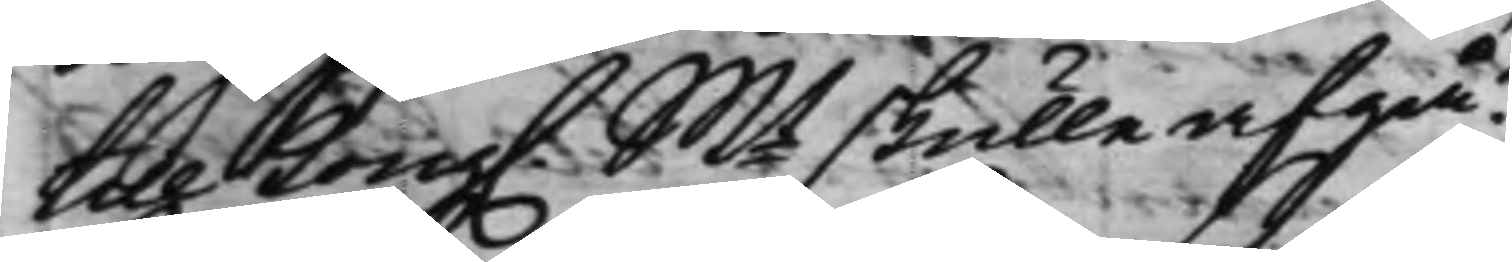till Kong. Mt skulle afgå. 
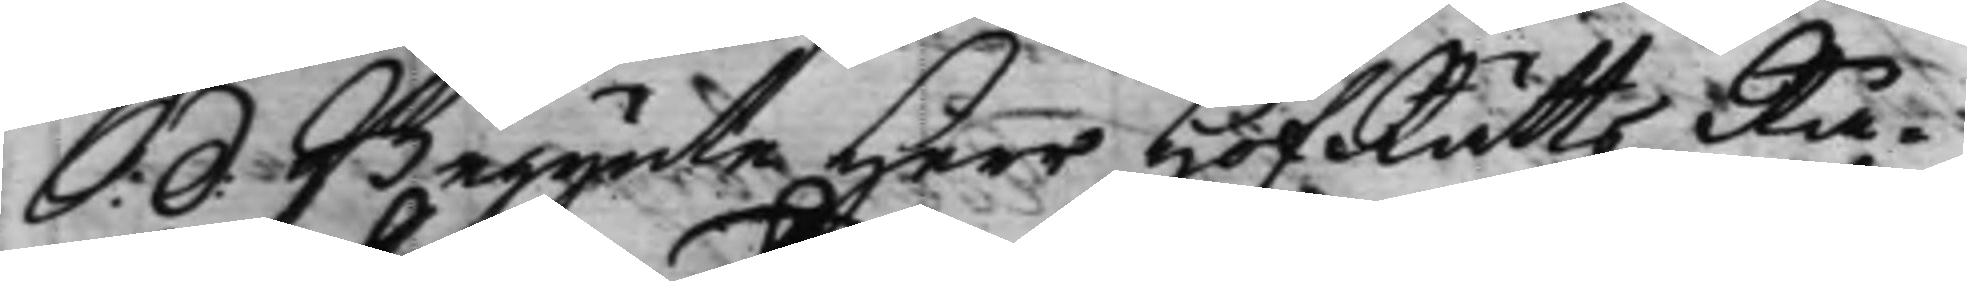S: d: Begynte Herr HofRättsRå¬ 
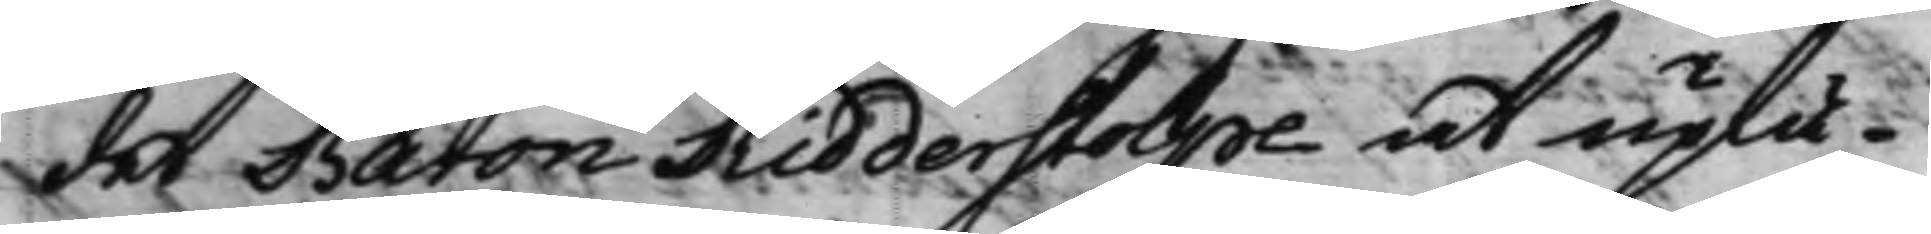det Baron Ridderstolpe at uplä¬
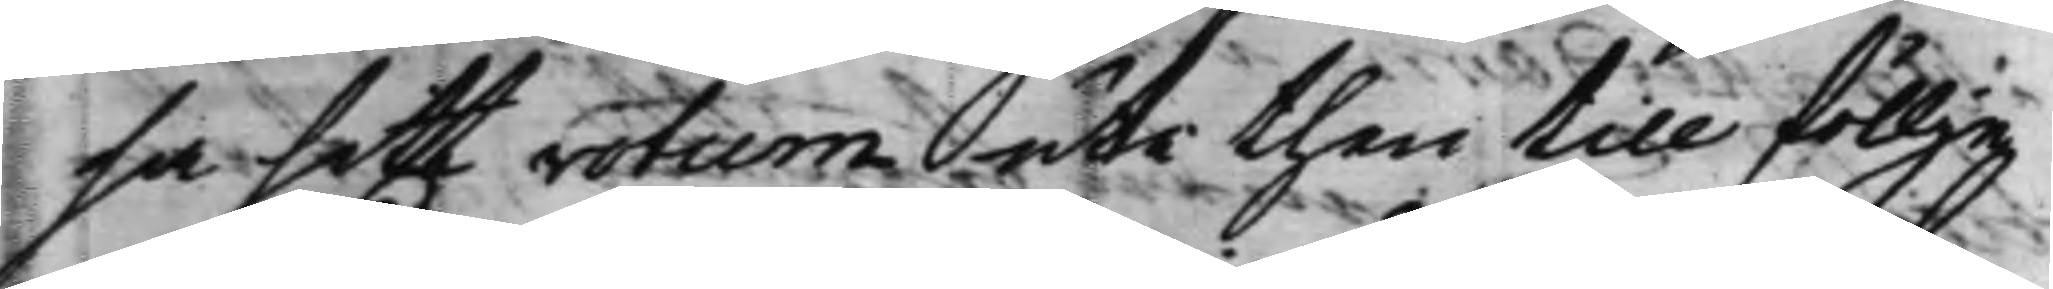sa sitt votum uti then till föllje
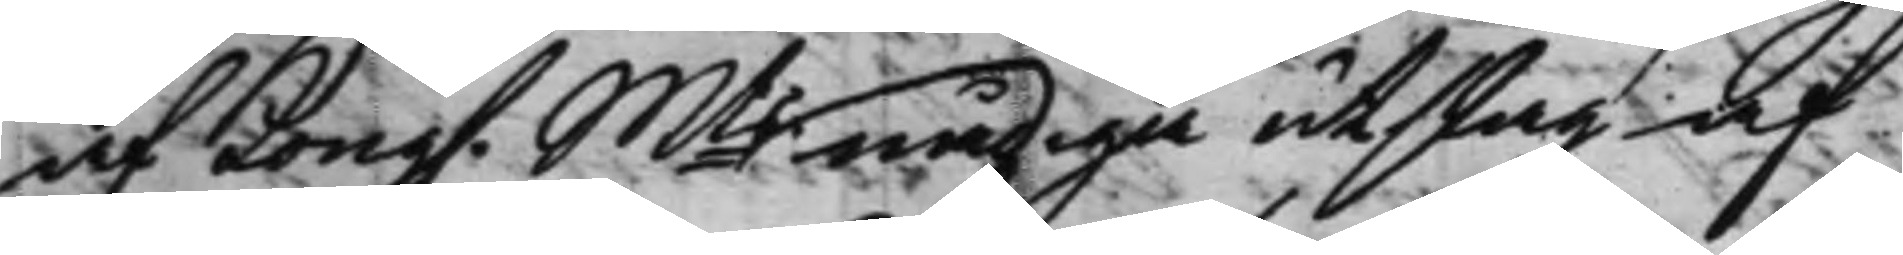af Kong. Mts nådiga utslag af 
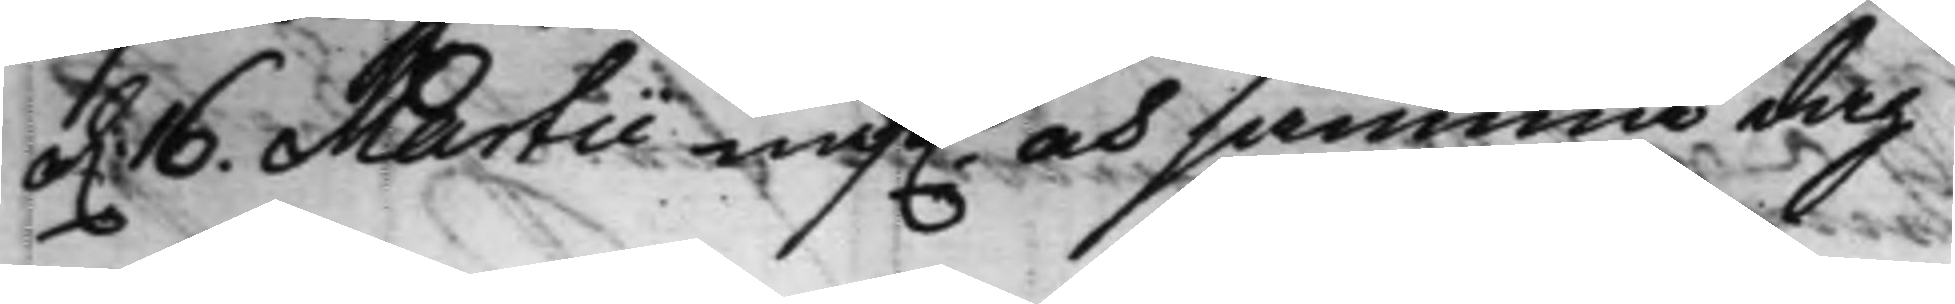d. 16. Martii näst. och samma dag 
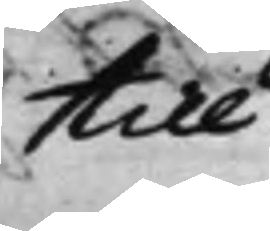till
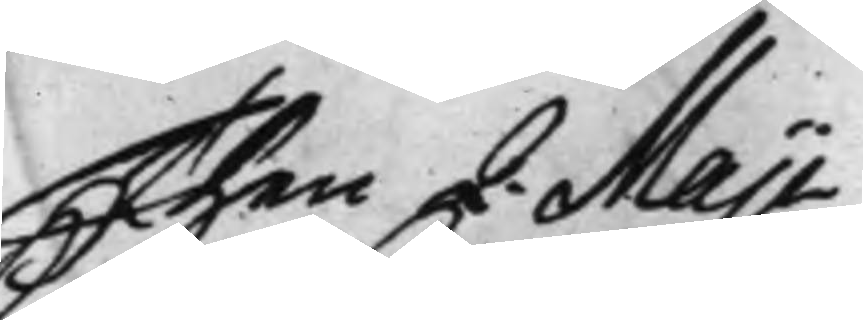Then 2. Maji
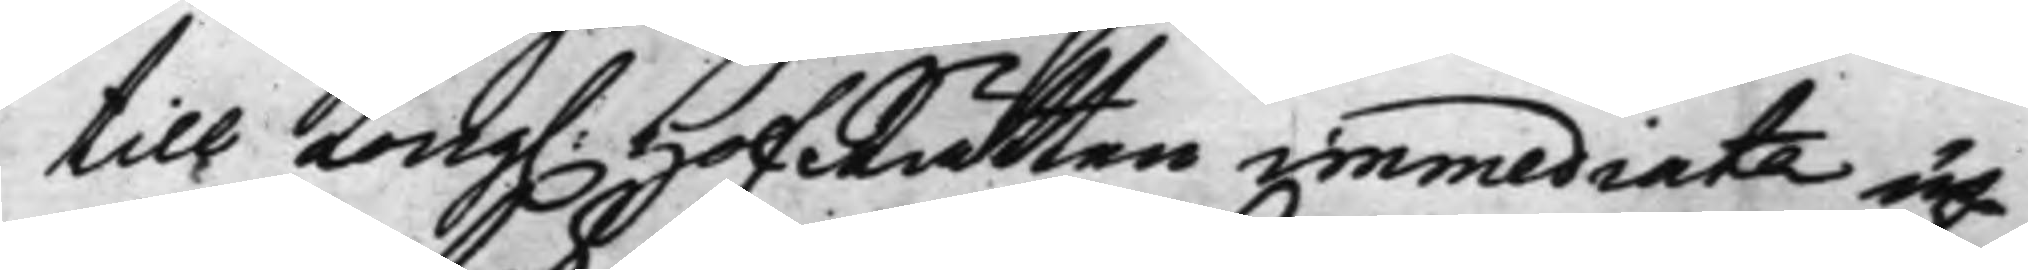till Kong. HofRätten immediate up¬ 
